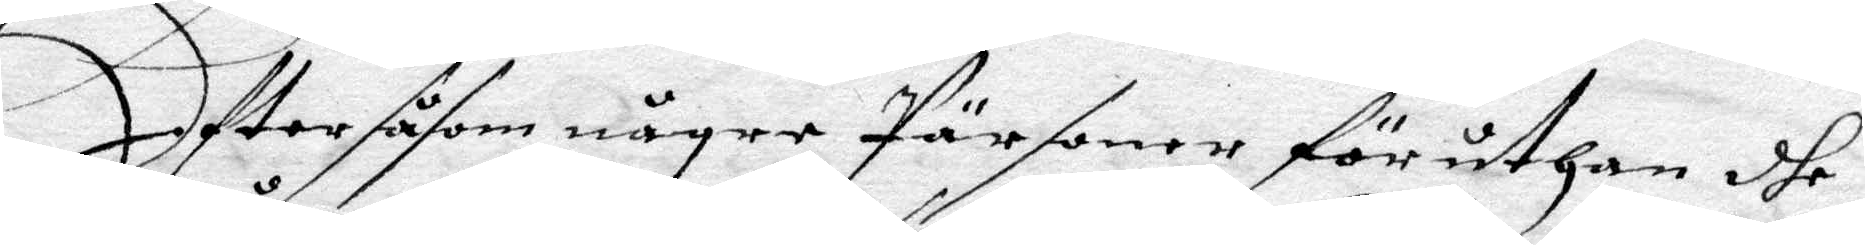Eftter såsom någre Pärsoner föruthan dhe
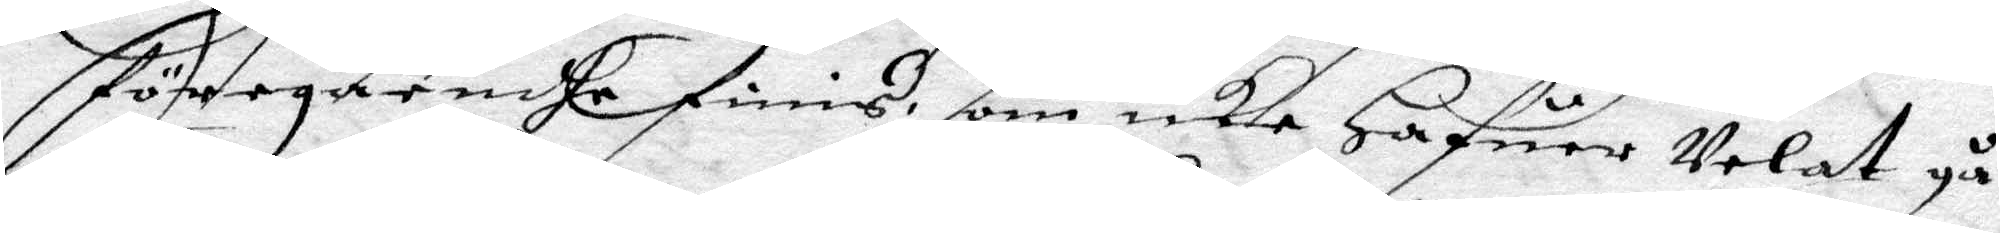föregåendhe finis, som icke Hafuer Velat gå
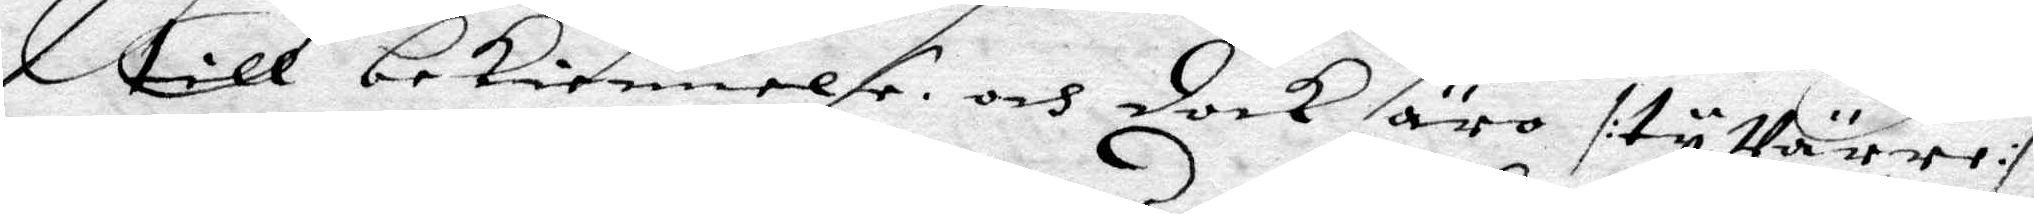till bekiennelse och dock äro /: ty Värre :/
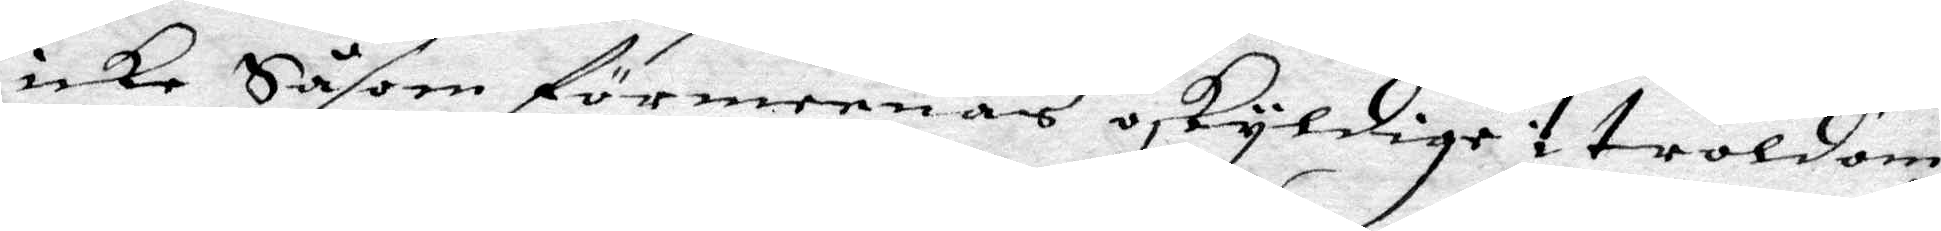icke Såsom förmeenas oskyldige i troldom
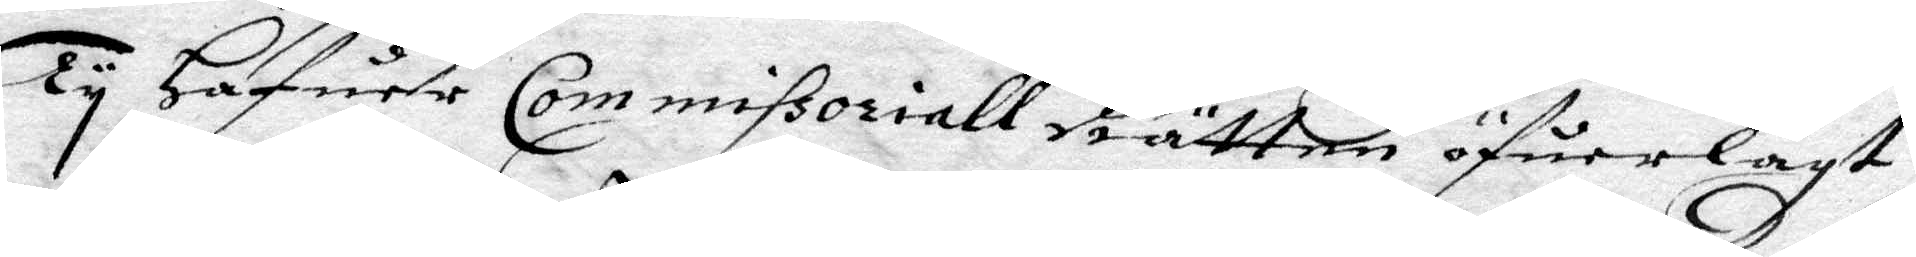Ty Hafuer Commissoriall Rätten öfuerlagt
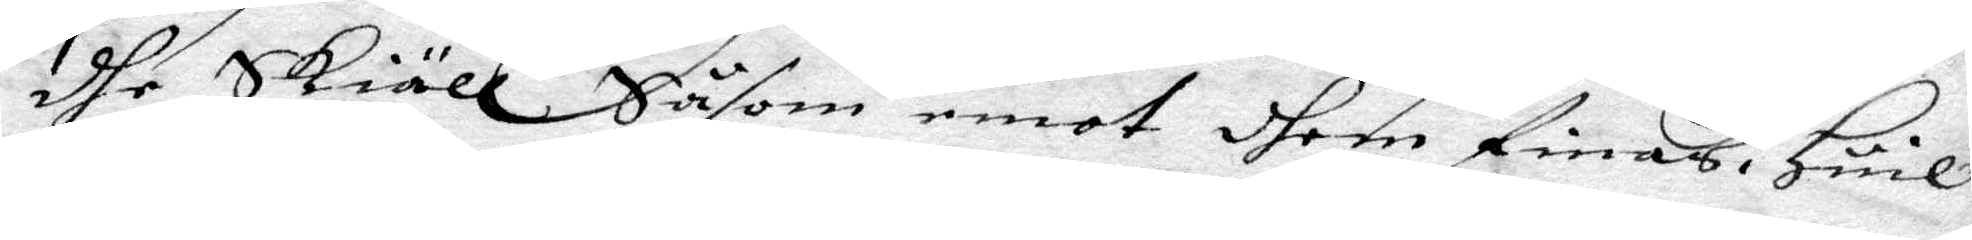dhe Skiäll Såsom emot dhem finnas, Huil¬'
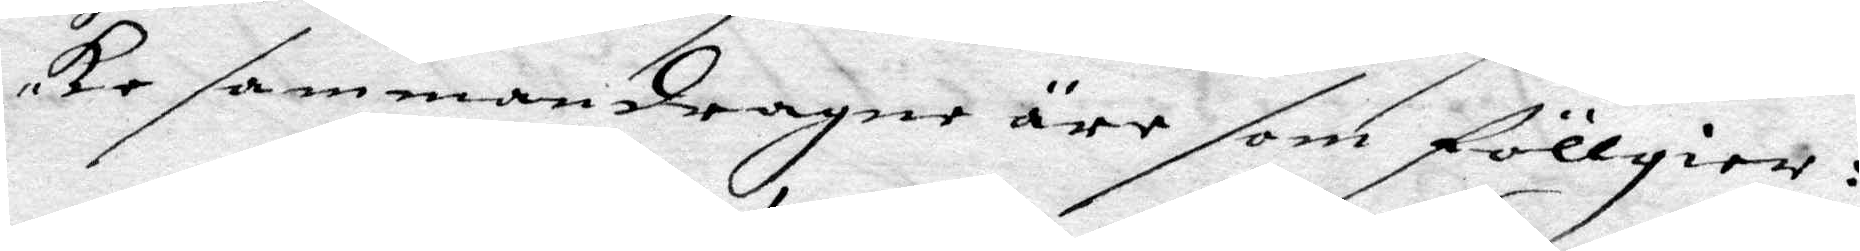ka sammandragne äre som föllgier:
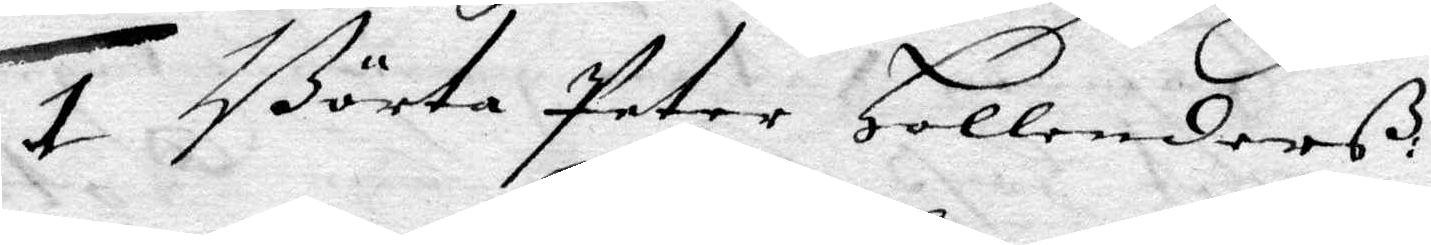1 Börta Peter Hollenderß:
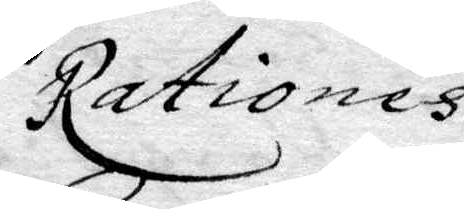Rationes
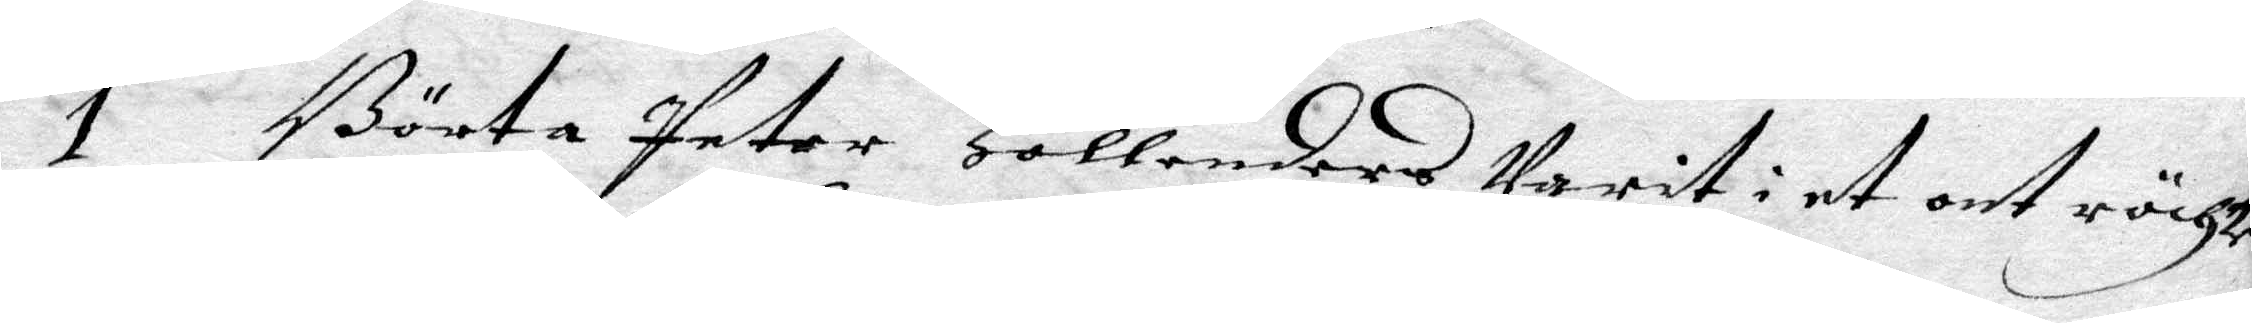1 Börta Peter Hollenders Varit i et ont röchte
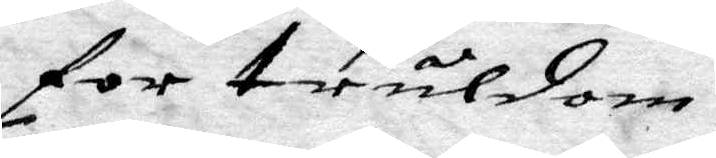för truldom,
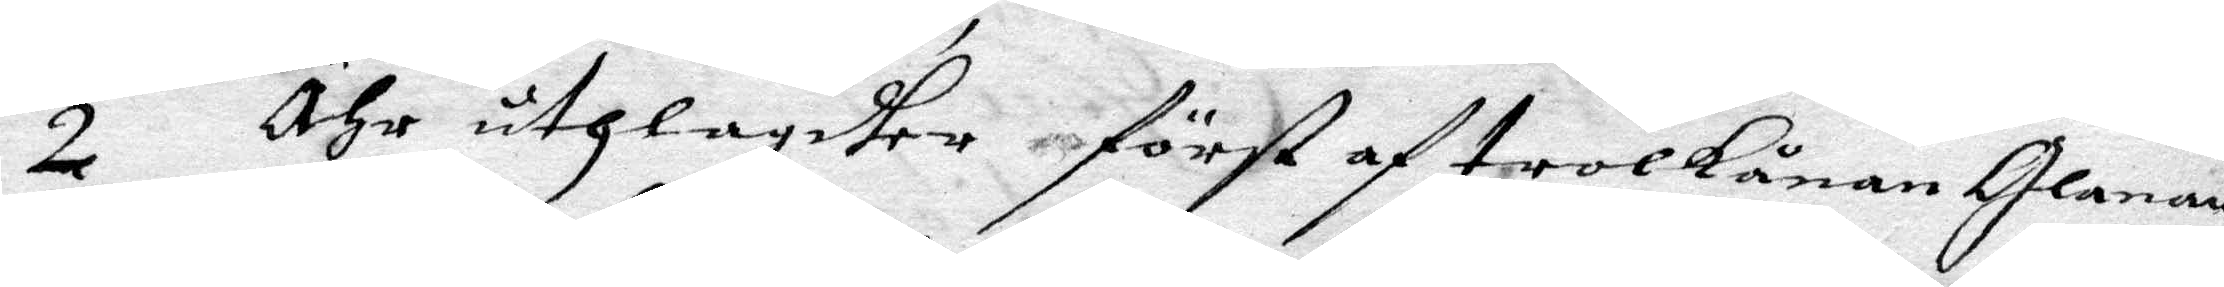2 Ähr uthlagdher först af trolkånan Glanan
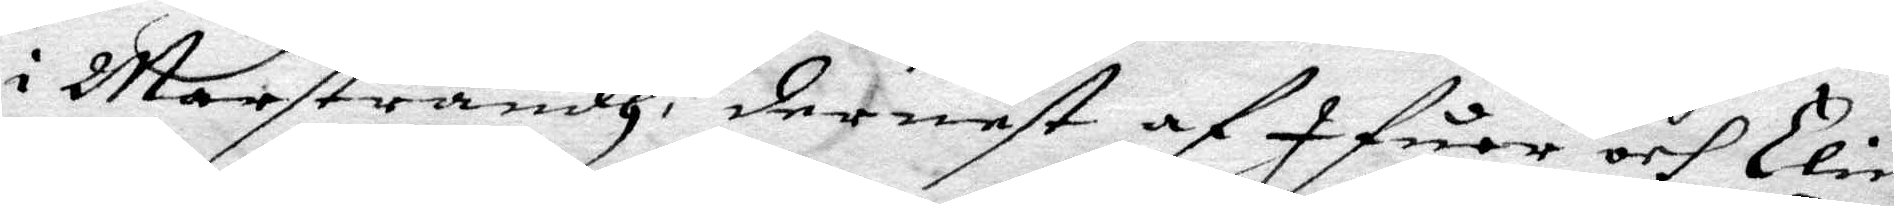i martsrandh, dernest af Ifuer och Elin
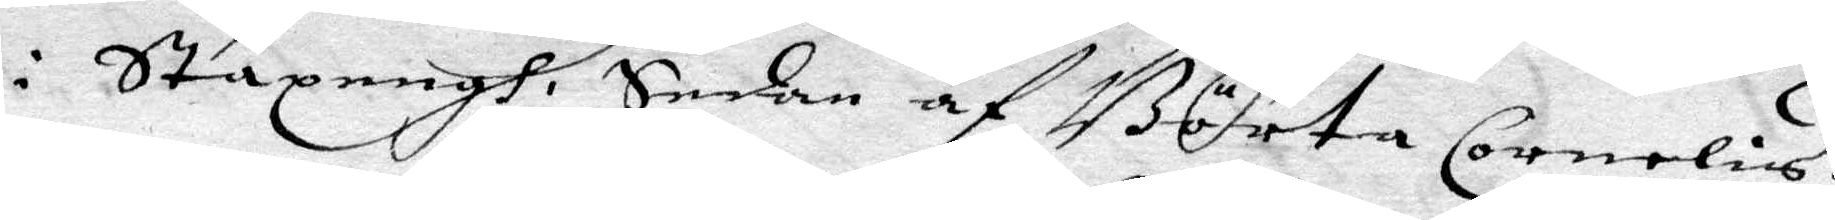i Stazengh, Sedan af Börta Cornelis,
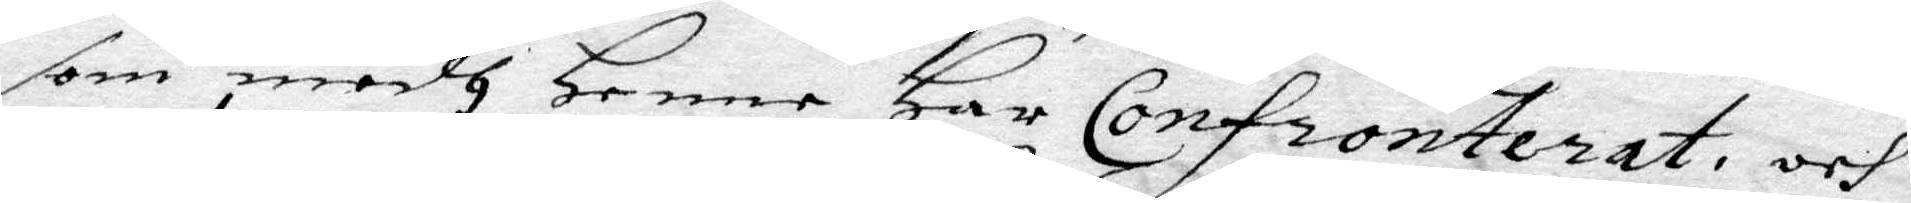som medh Henne Har Confronterat och
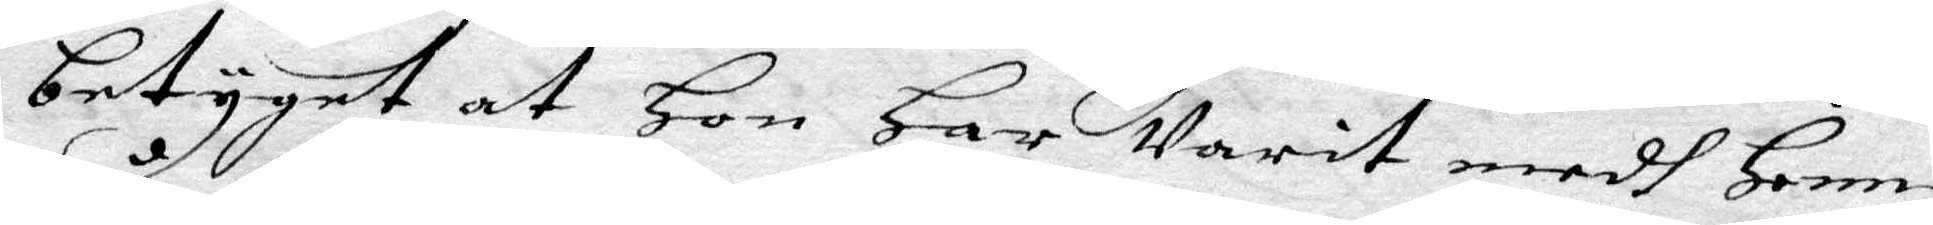betyget at Hon Har Varit medh Henne
